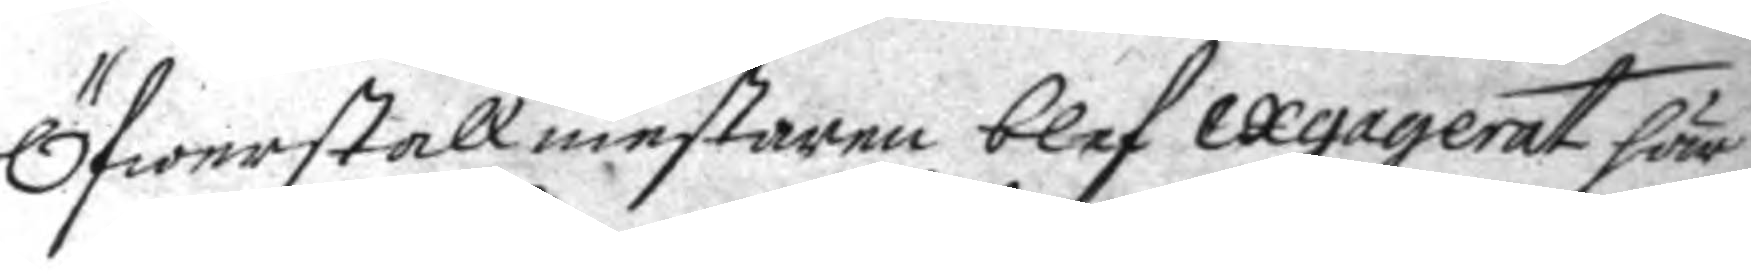Öfwerstallmestare blef exgagerat här
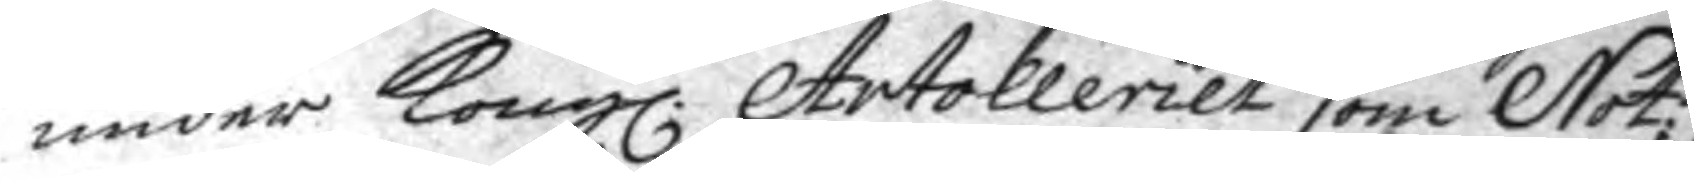under Kongl. Artolleriet som Not;
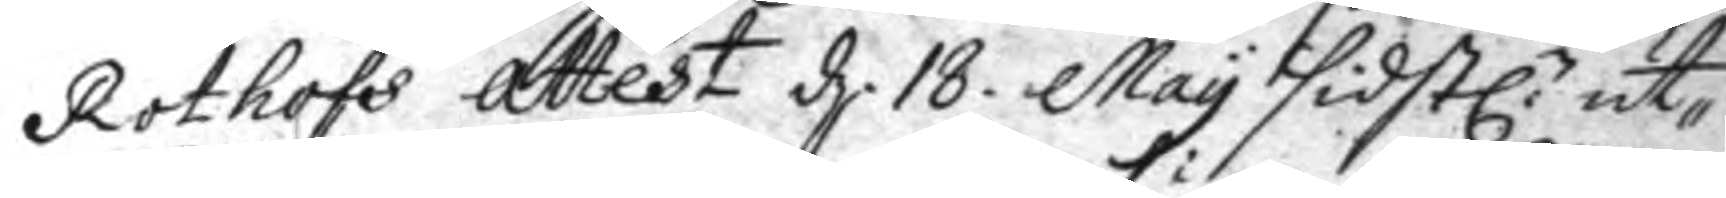Rothofs Attest d. 18. May sidstl:e ut¬
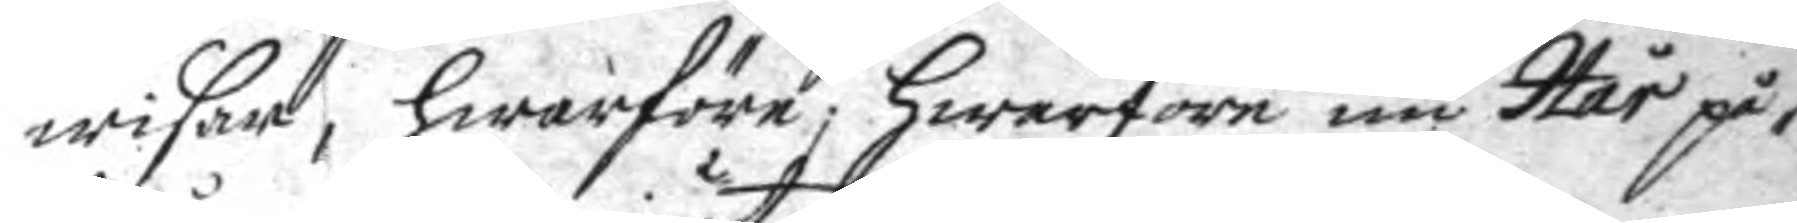wisar, hwarföre; hwarföre nu Hår på¬
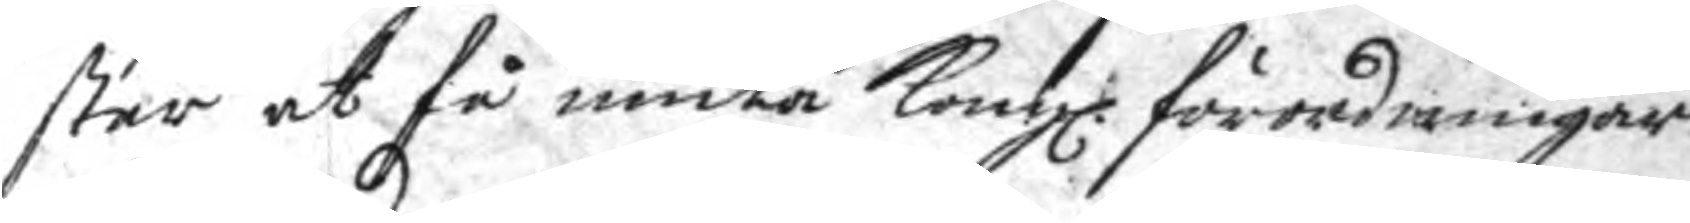står at få niuta Kongl. förordningar
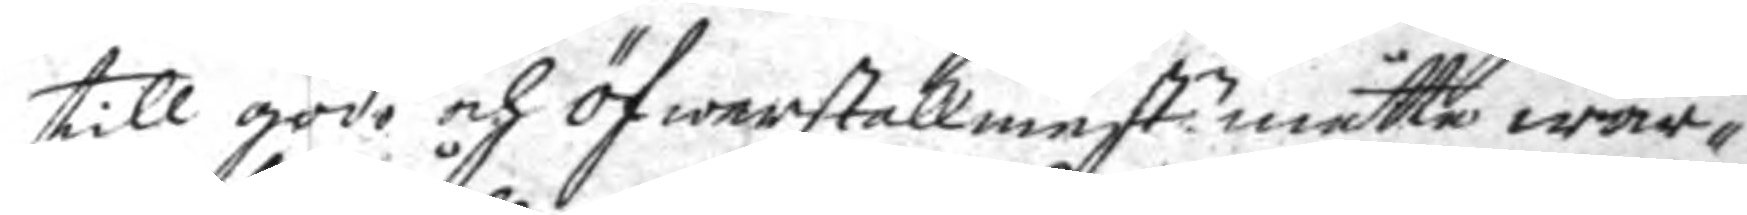till godo och öfwerstallmest.n måtte war¬
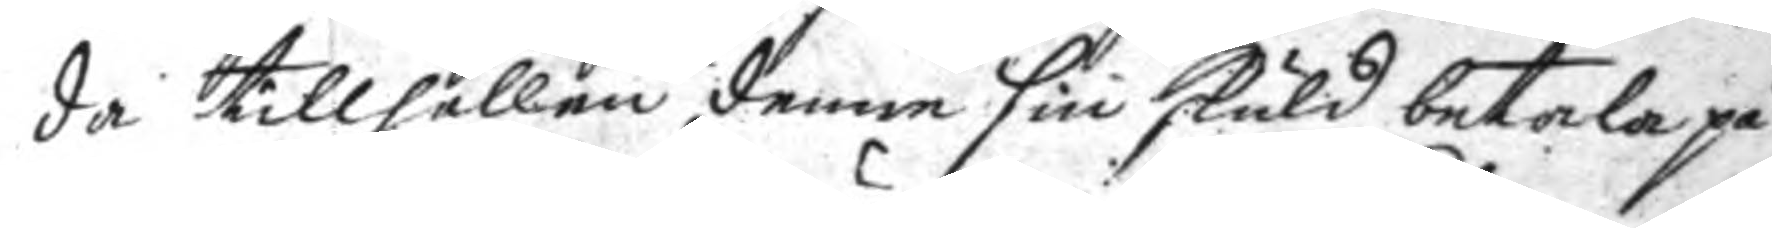da tillhållen denne sin skuld betala på
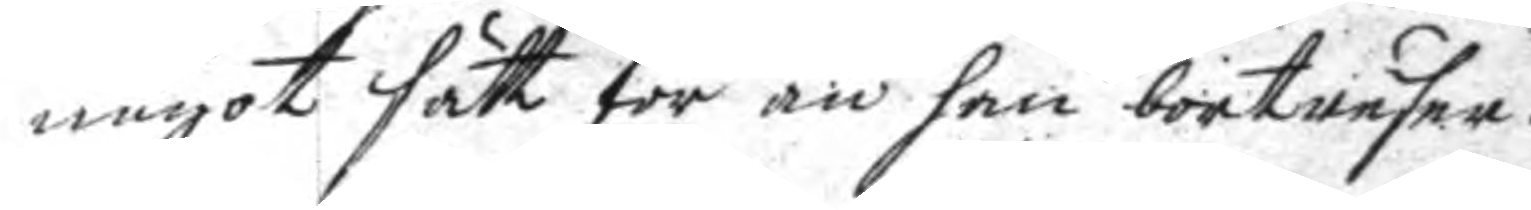något sätt för än han bortreser.
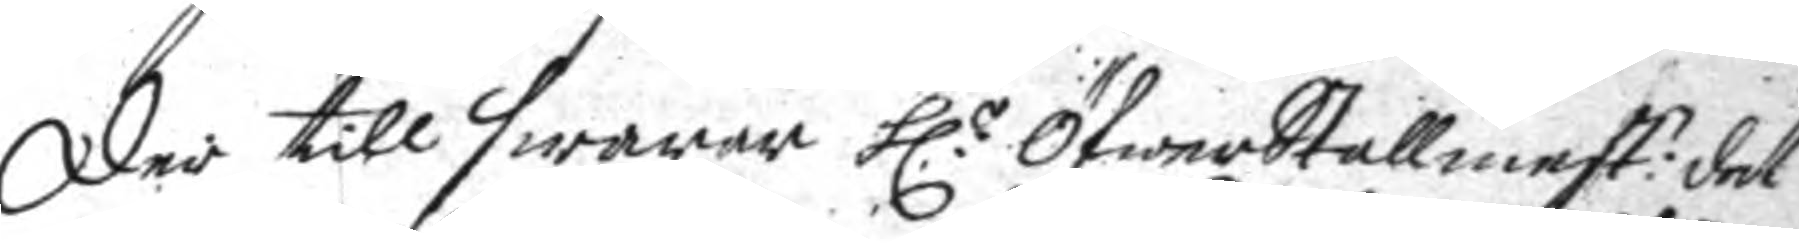Der till swarar h:r Öfwerstallmest:n det
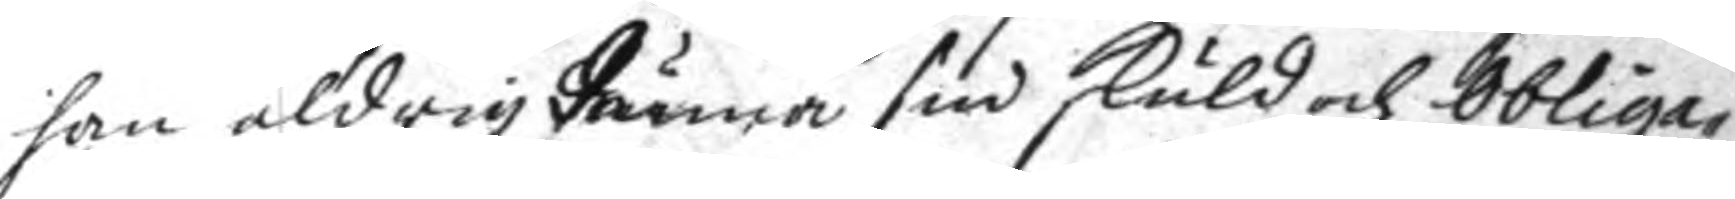han aldrig kunna sin skuld och Obliga¬
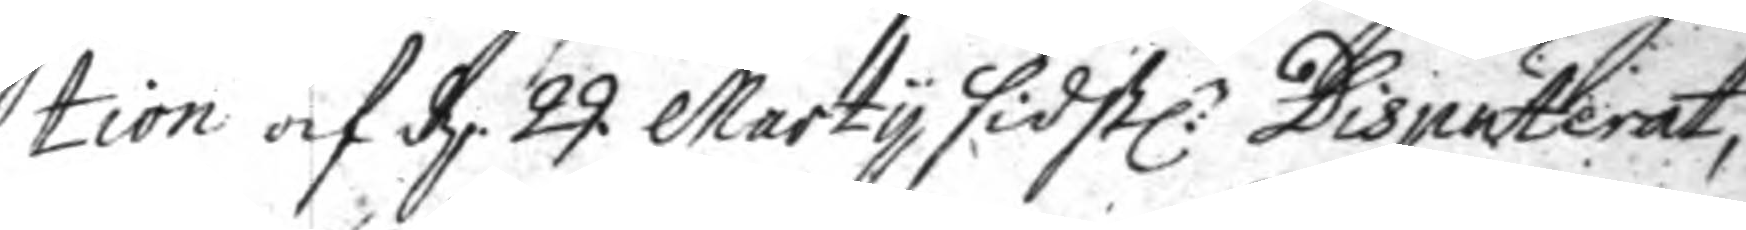tion af d. 29. Marty sidstl:e Disputerat,
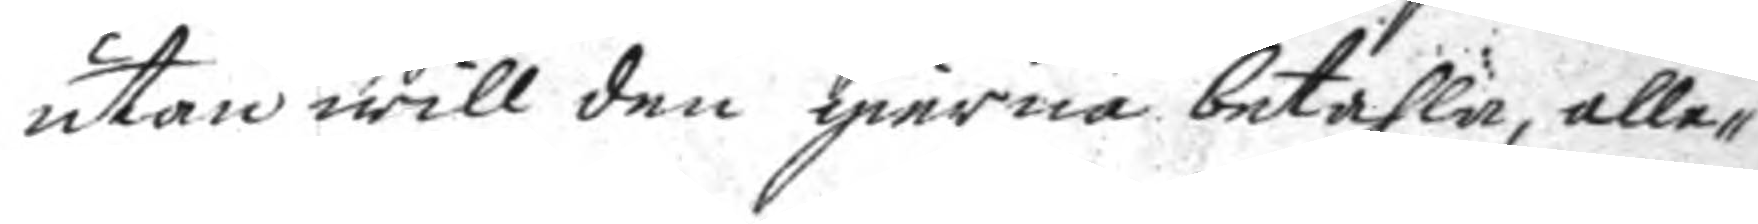utan will den gierna betahla, alle¬
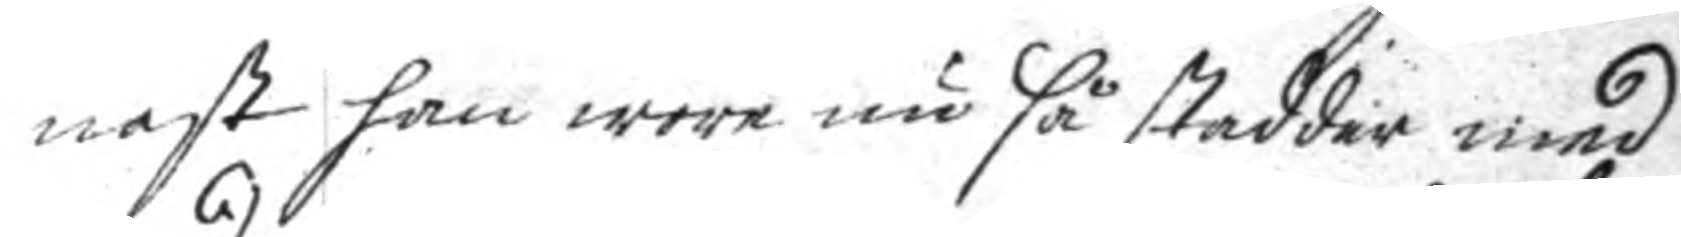nast han wore nu så stadder med
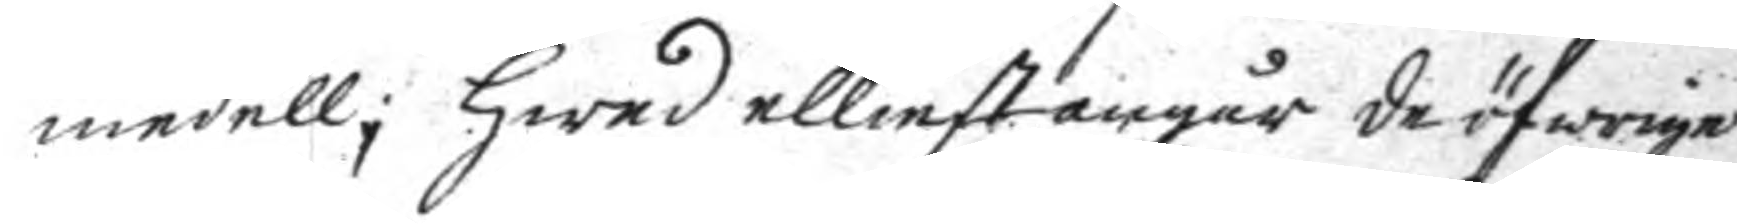medell; hwad elliest angår de öfwrige
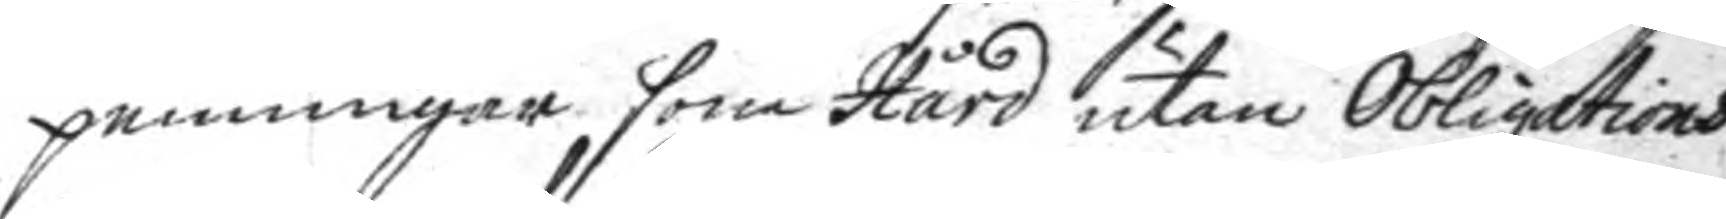penningar som Hård utan Obligations
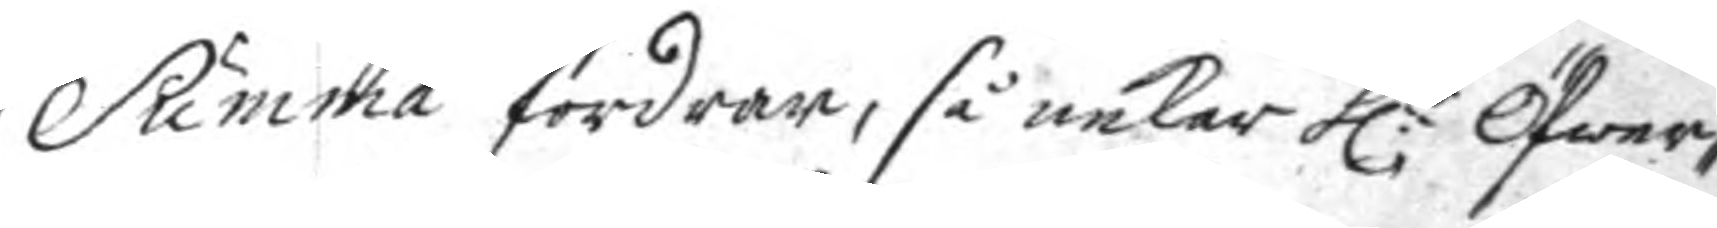Summa fordrar, så nekar h:r Öfwer¬
